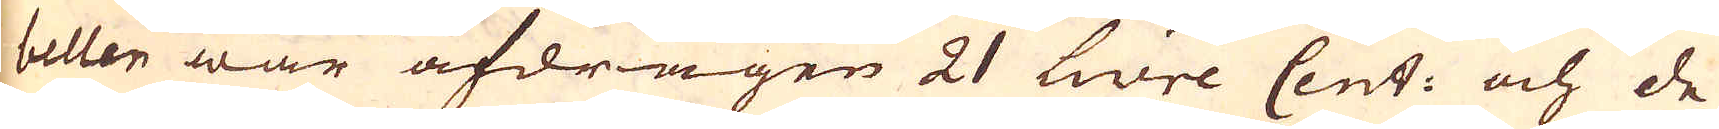bellen war afdragen 21 livre Cent: och de
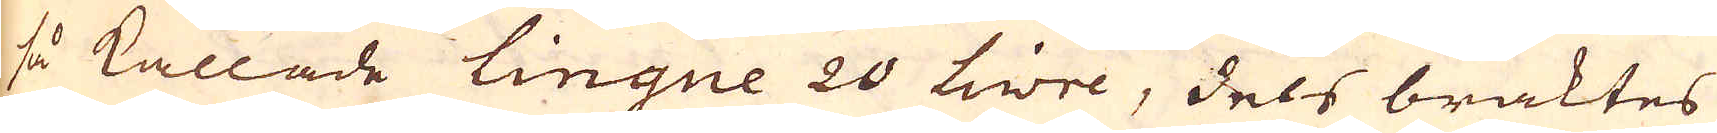så kallade lingue 20 livre, dels braktes
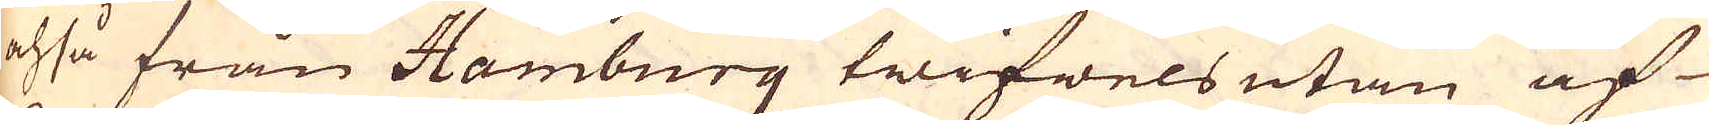ochså från Hamburg twifwels utan af
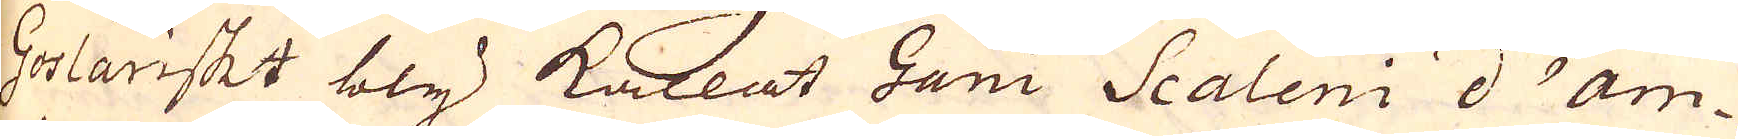Goslariskt bly kallat Gani Scaleni d'am-
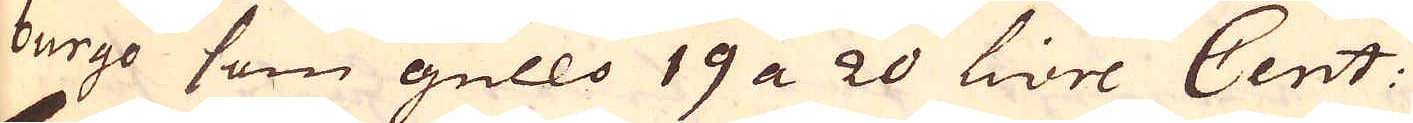burgo som gullo 19 a 20 livre Cent:
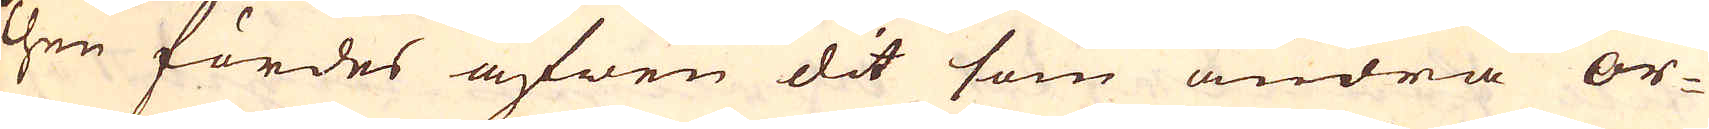Then fördes äfwen dit som andra or-
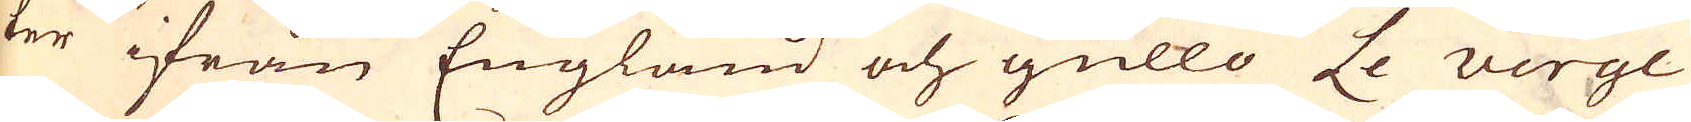ter ifrån England och gullo Le Verge
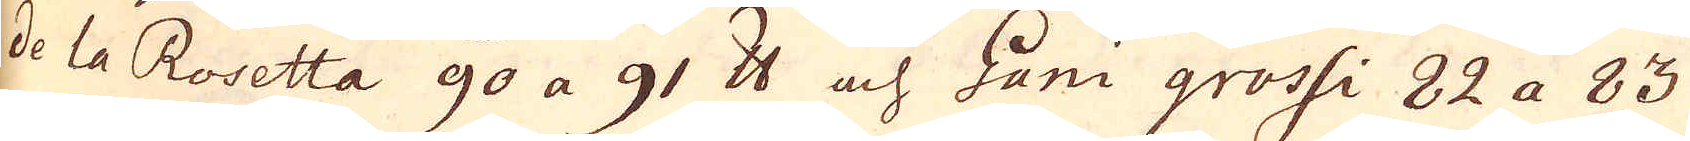de la Rosetta 90 a 91 skålpund och Gani grossi 82 a 83
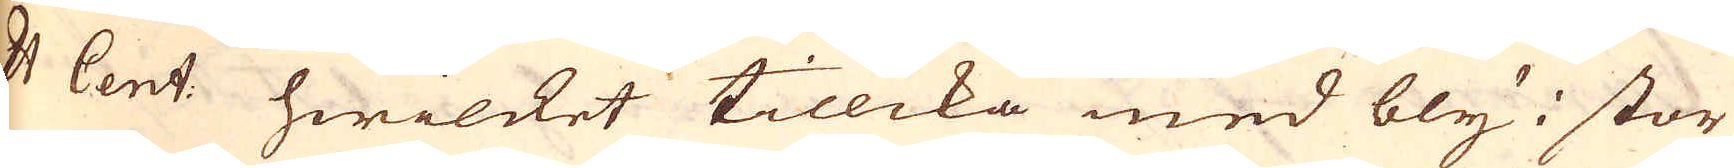Pr Cent: hwilket tillika med bly i stor
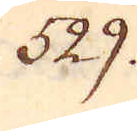529.
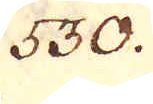530.
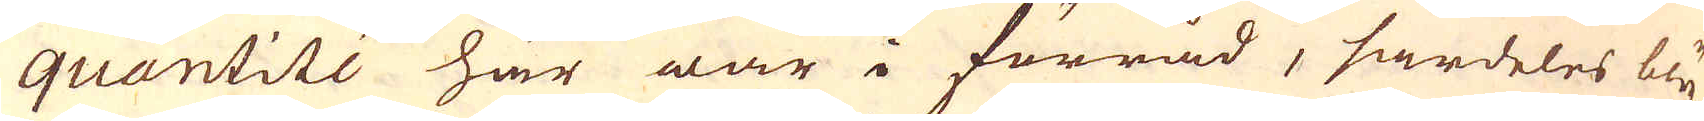quantité här war i förråd, särdeles bly
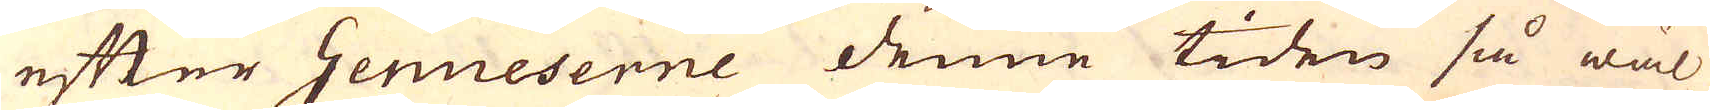efter Genueserne denne tiden så wäl
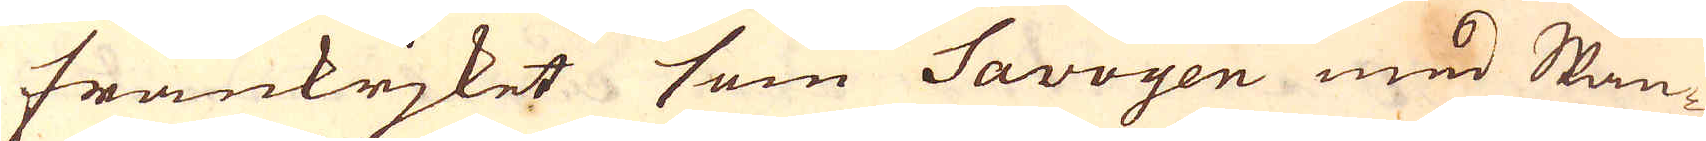Frankrjket som Savoyen med Span-
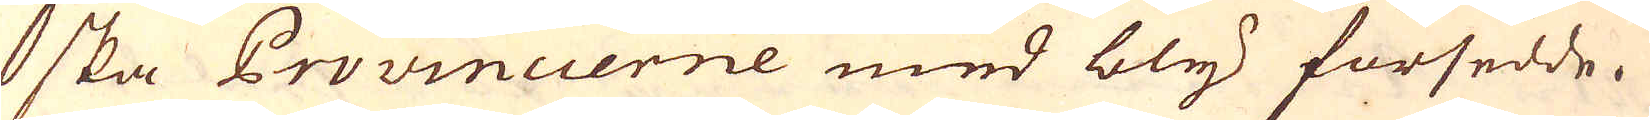ska Provincierne med bly försedde.
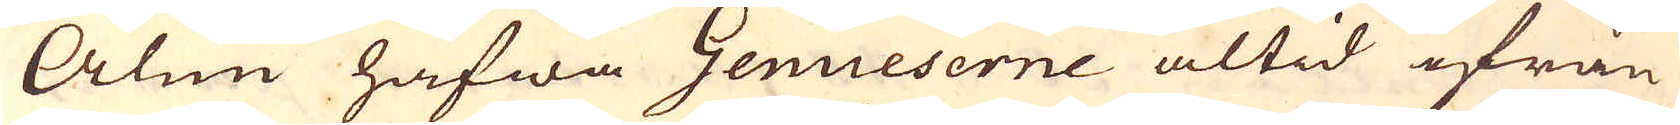Alun hafwa Genueserne altid ifrån
